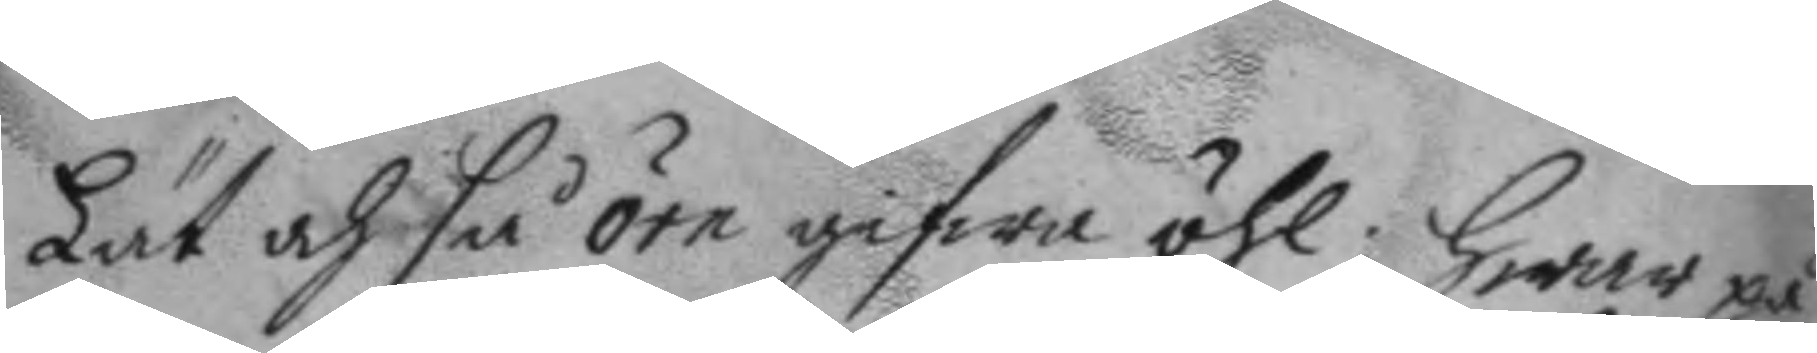Lät och så örn gifwa öhl: hwar på
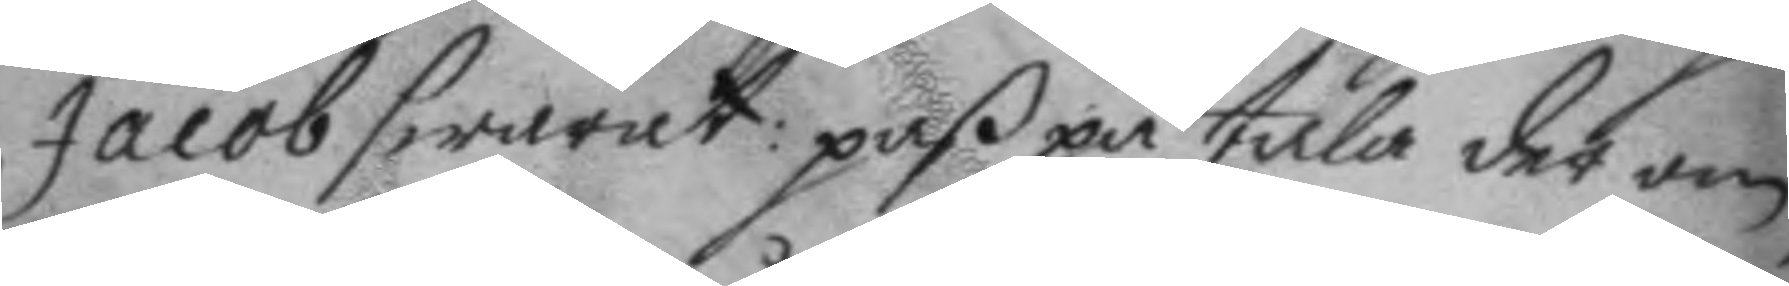Jacob swarat: paß på tala der om,
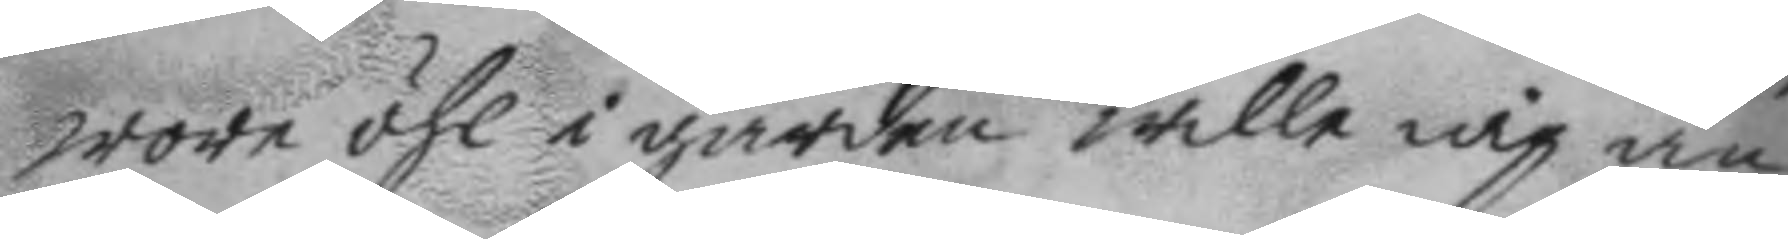wore öhl i gården wille iag än
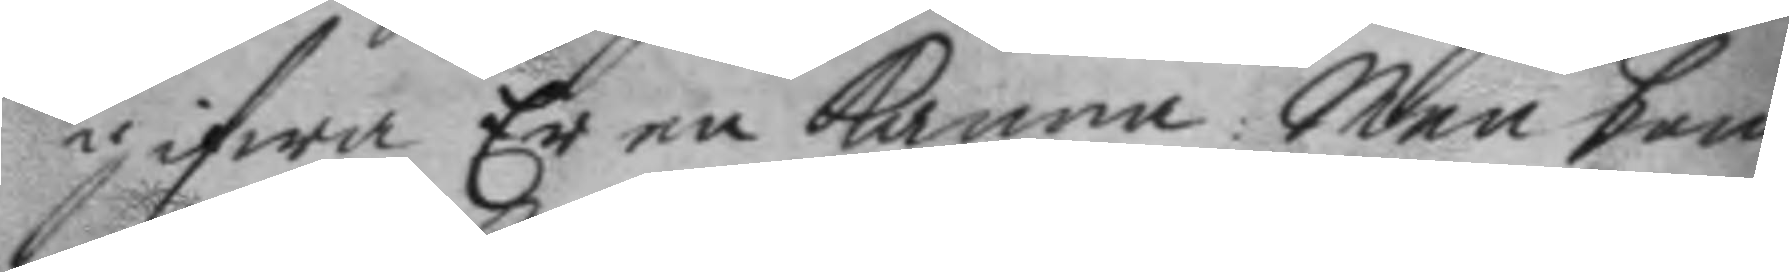gifwa Er en kanna: men som
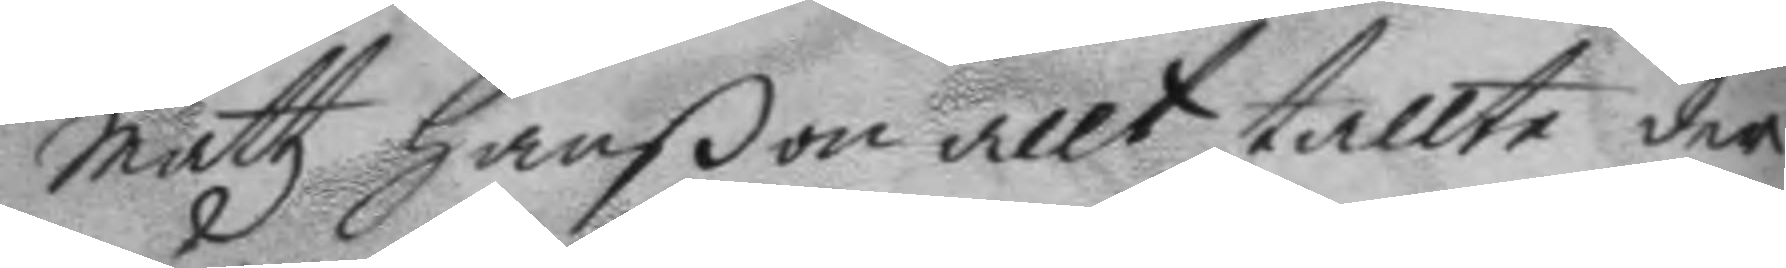Mattz hanon allt tallte der
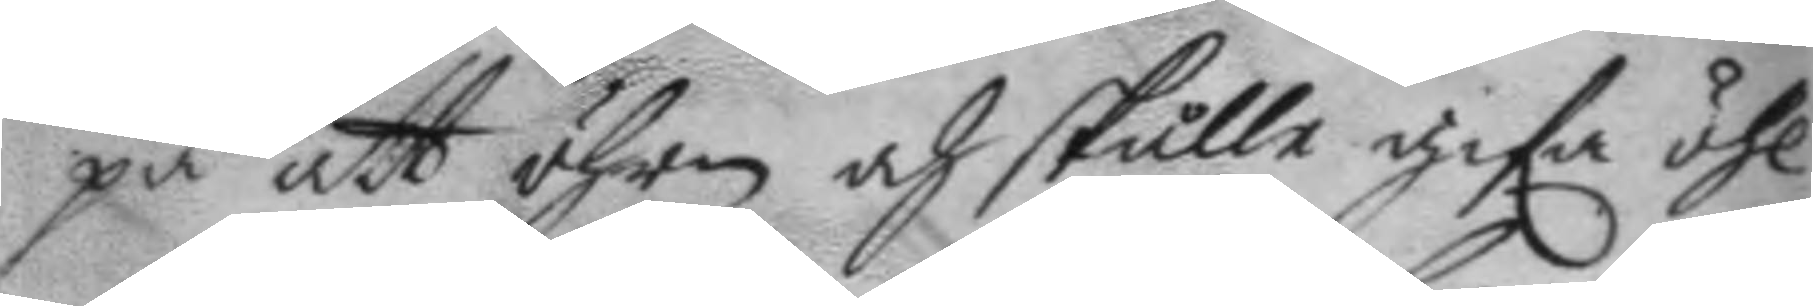på att öhrn och skulle gifa öhl
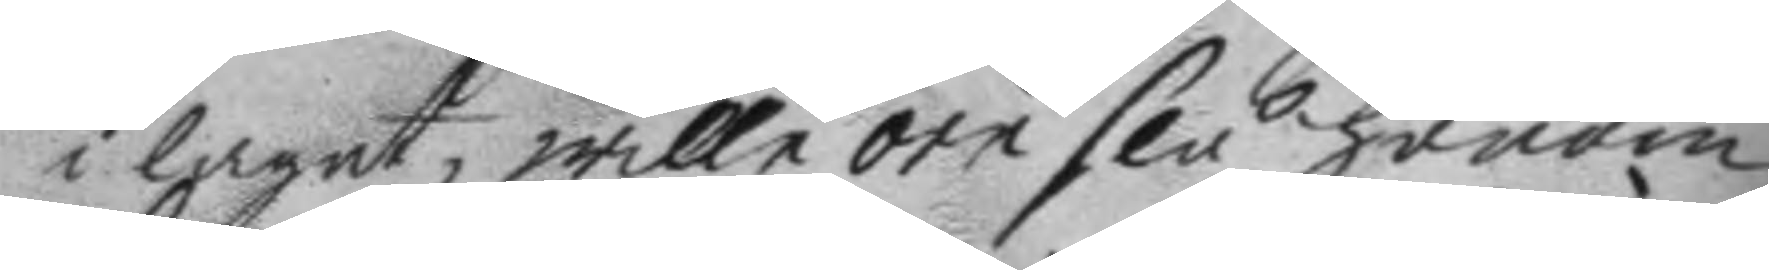i laget, wille örn slå honom
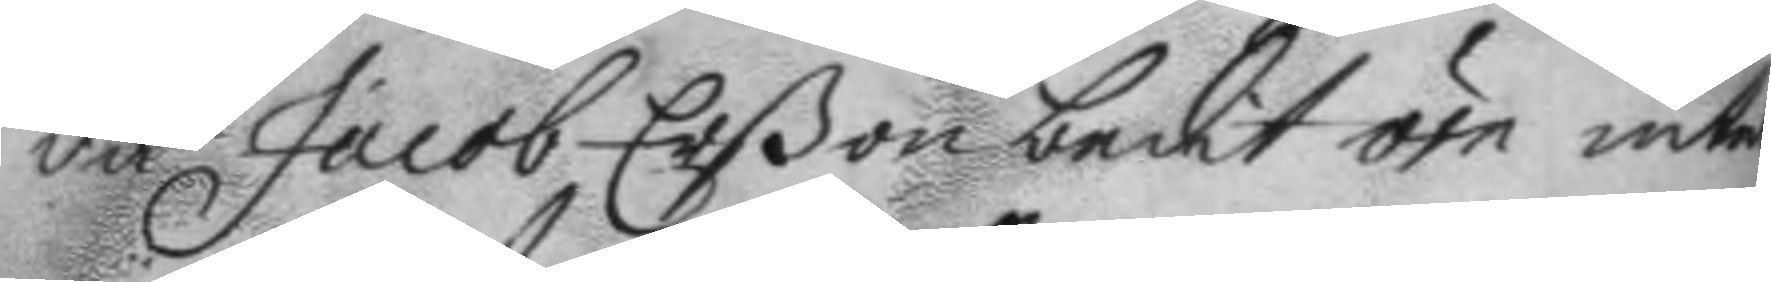då Jacob Erßon bedit örn intet
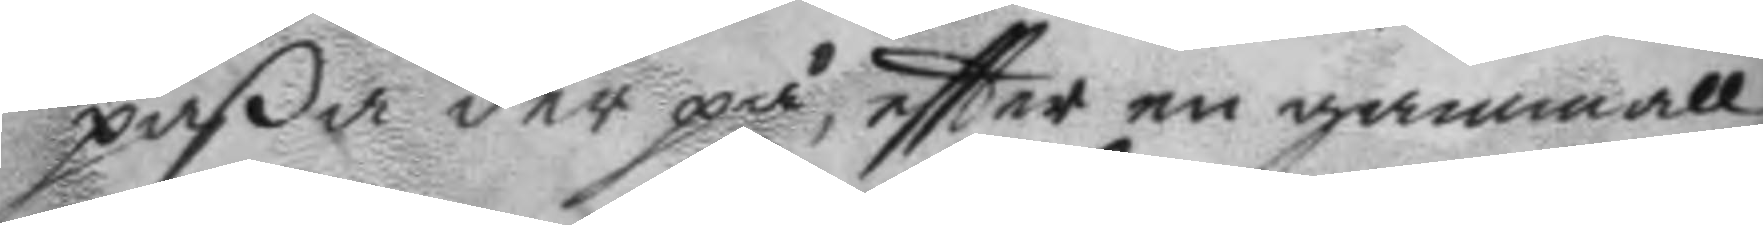paßa der på, eftter en gammall
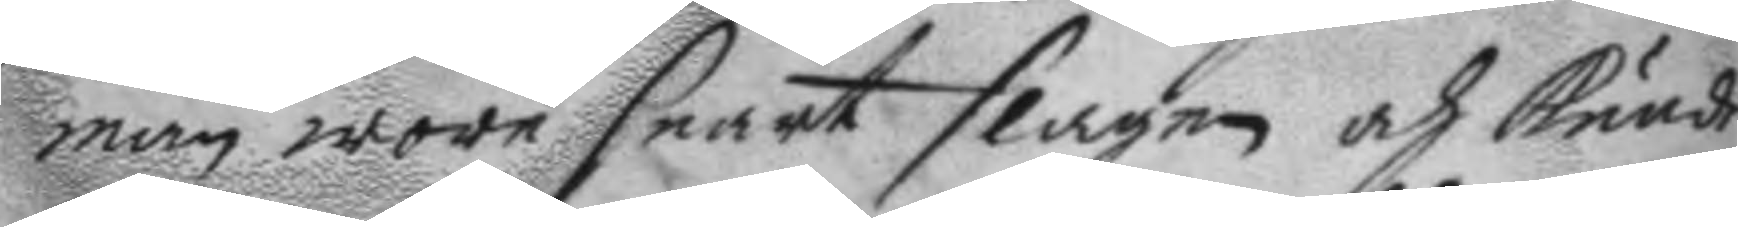man wore snart slagen och kunde
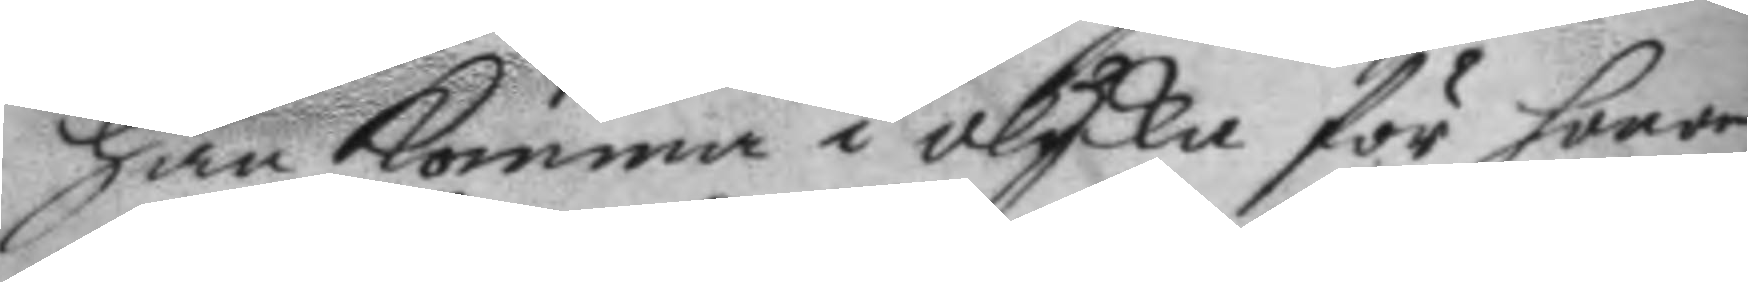han komma i olycka för honom,
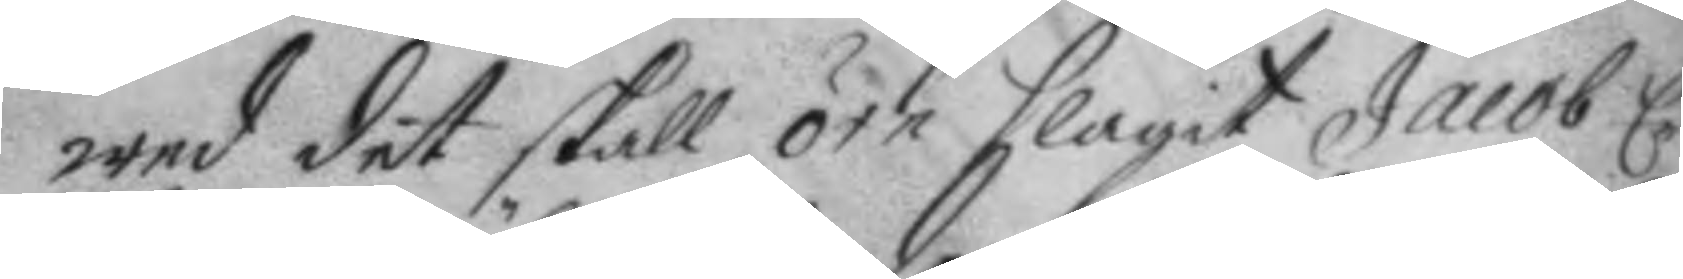wed det skall örn slagit Jacob Er¬
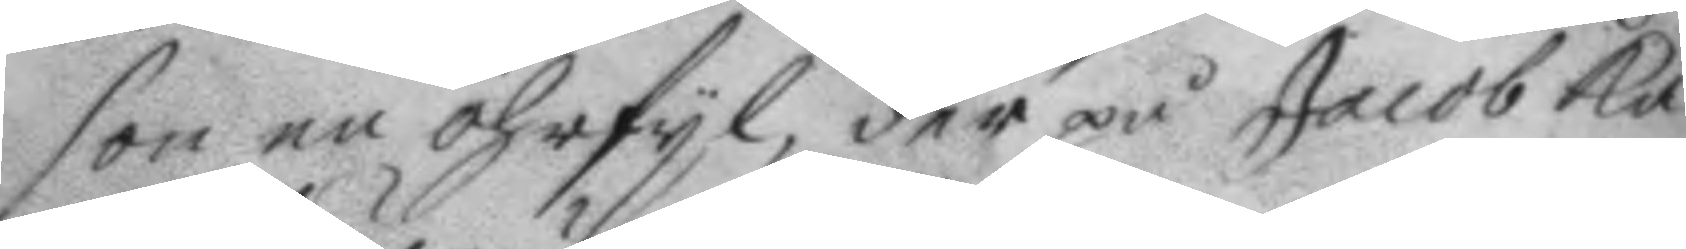son en öhrfyl, der på Jacob ka¬
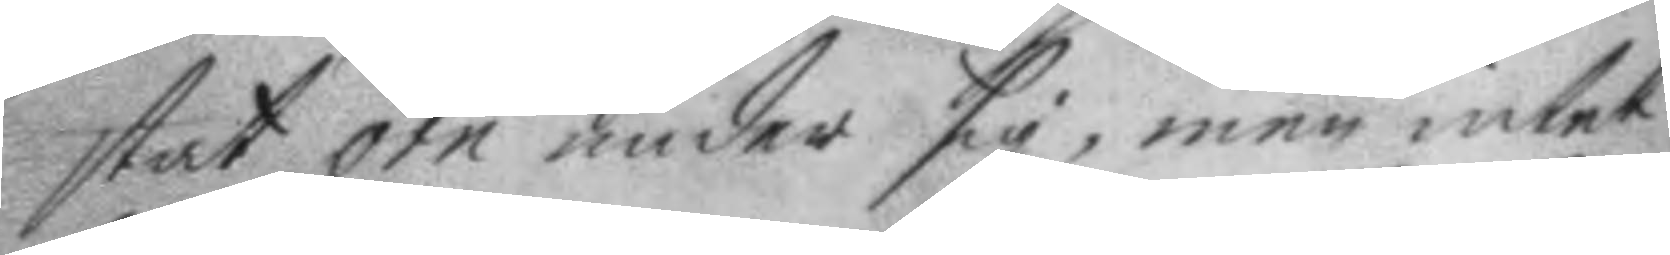stat örn under sig, men intet
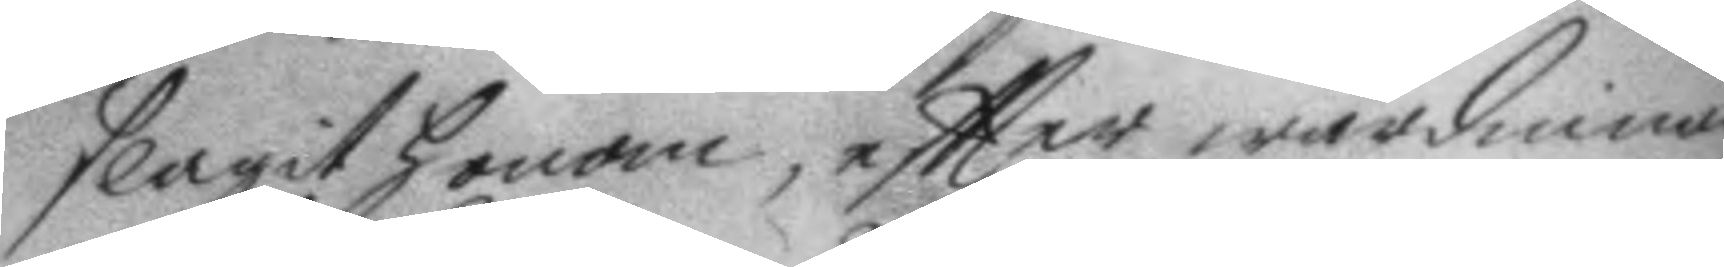slagit honom, eftter wärdinnan
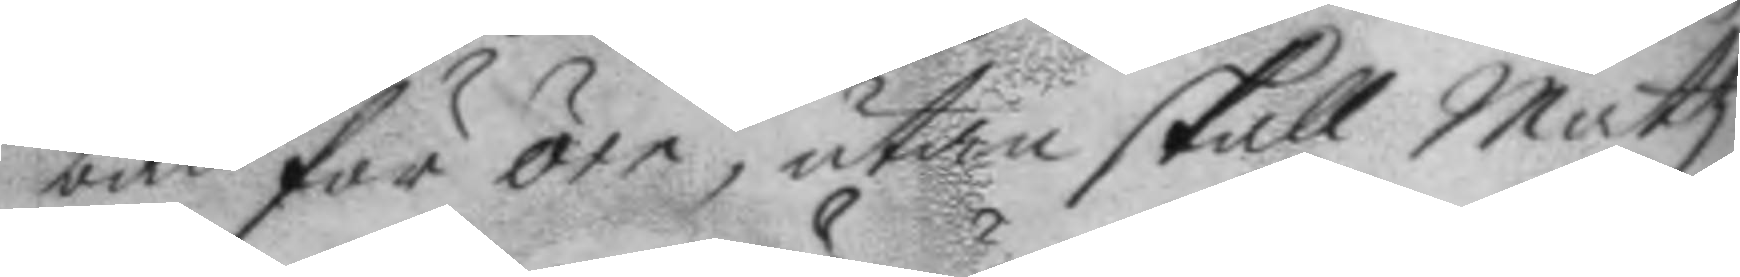bad för örn, utan skall Mattz
